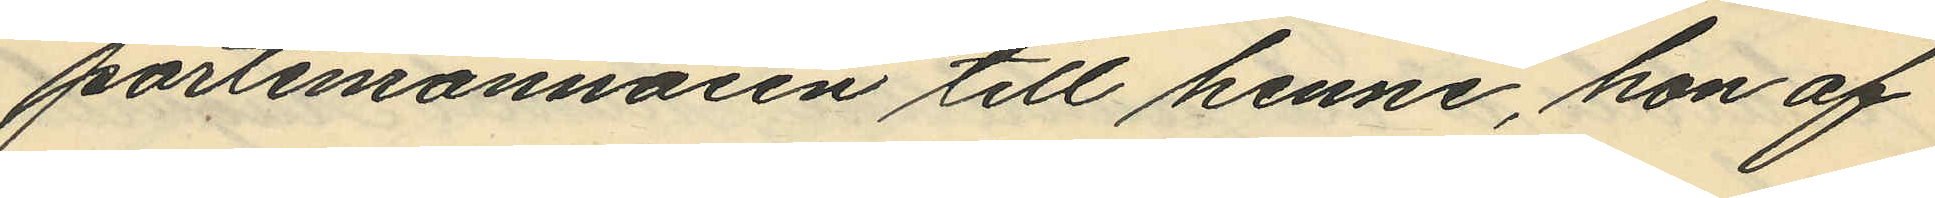portmonnaien till henne, hon af
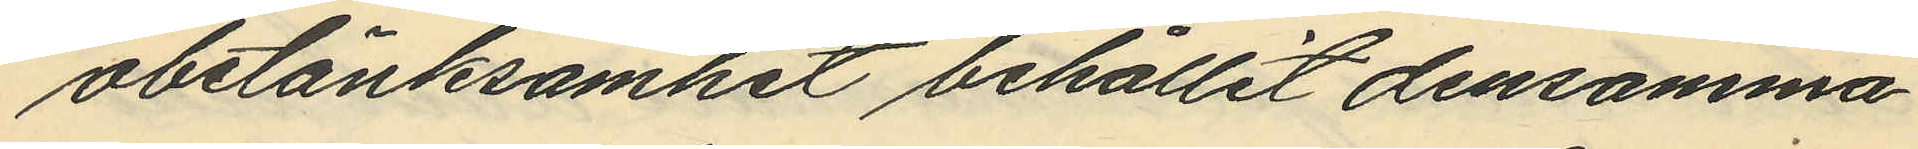obetänksamhet behållit densamma
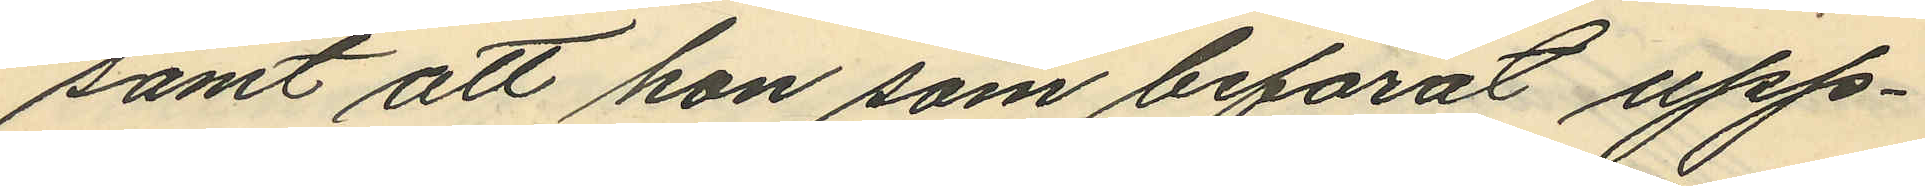samt att hon som befarat upp¬
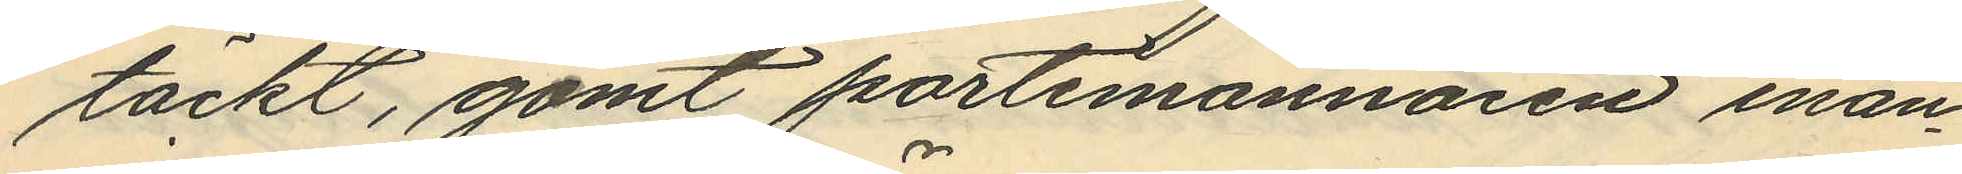täckt, gömt portmonnaien inan¬
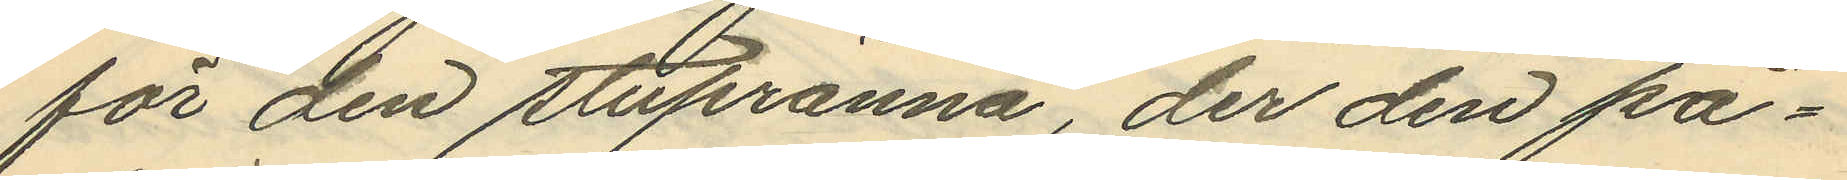för den stupränna, der den på¬
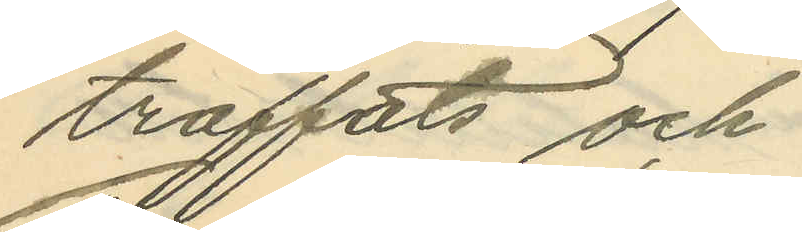träffats och
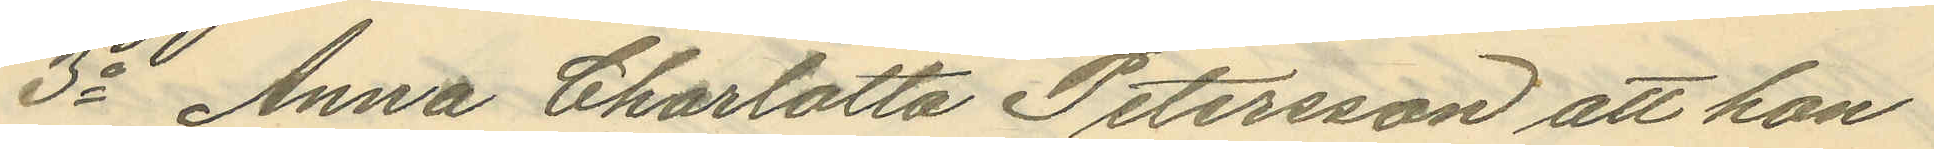3o Anna Charlotta Petersson att hon
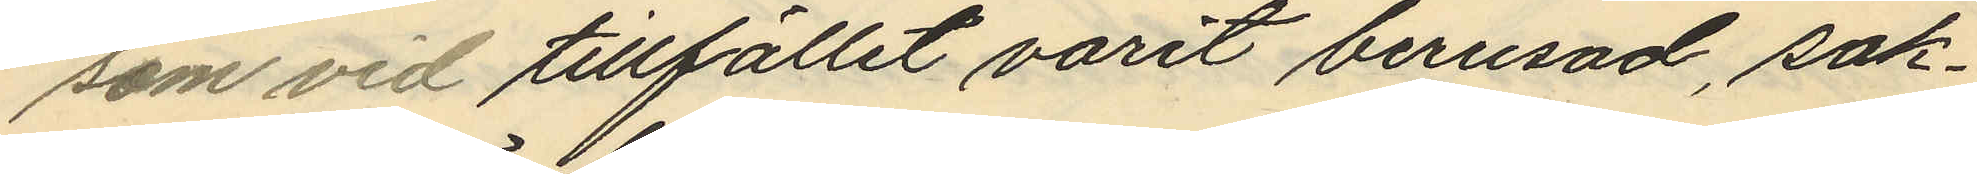som vid tillfället varit berusad, sak¬
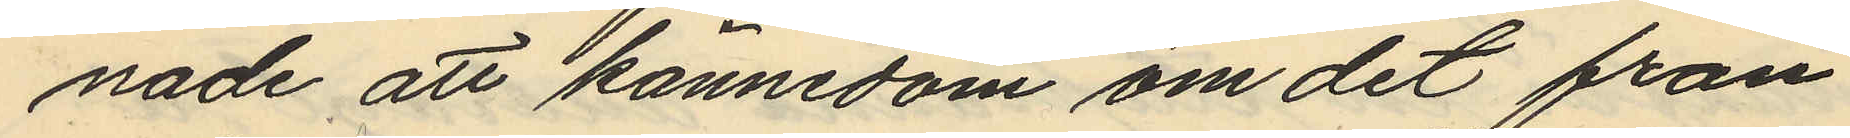nade att kännedom om det från
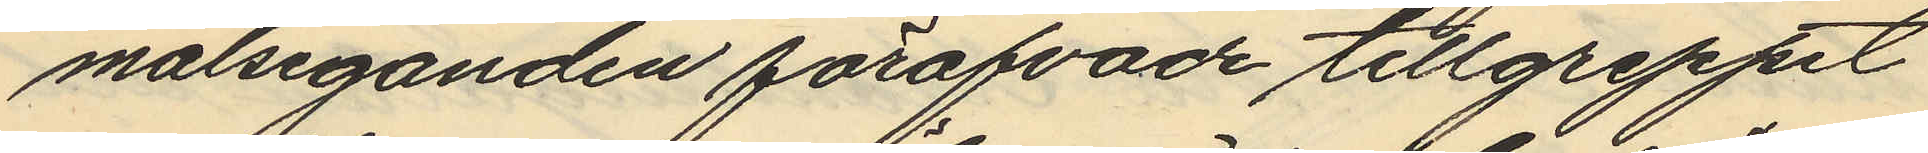målseganden föröfvade tillgreppet
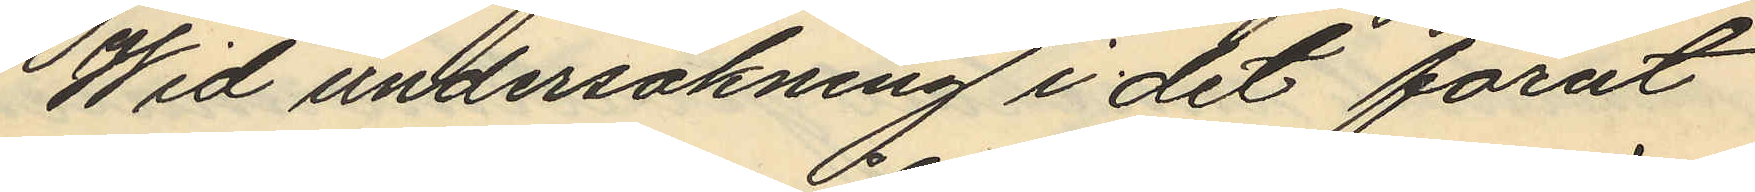Wid undersökning i det förut
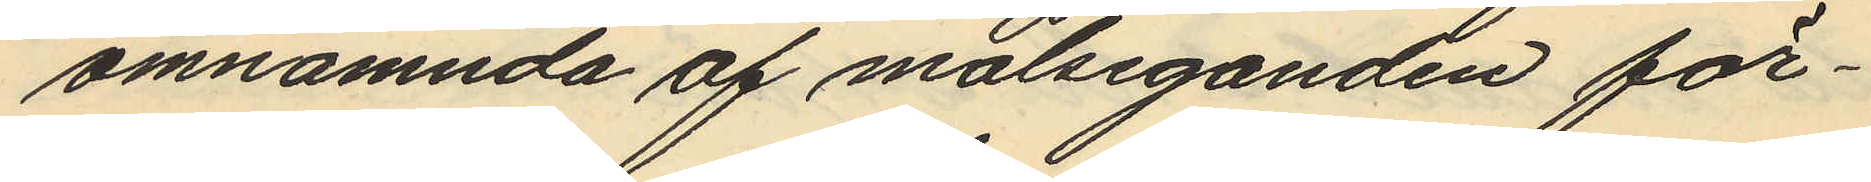omnämnda af målseganden för¬
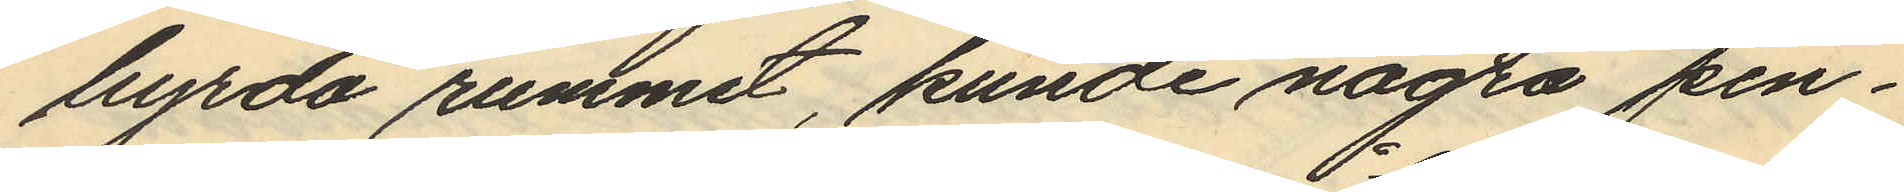hyrda rummet, kunde några pen¬
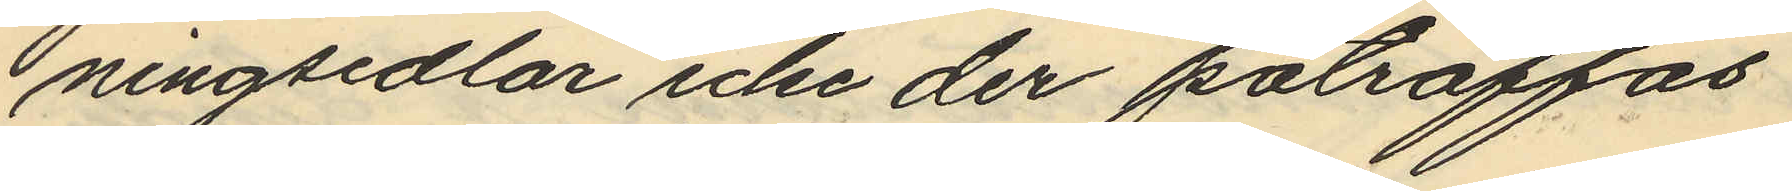ningsedlar icke der påträffas
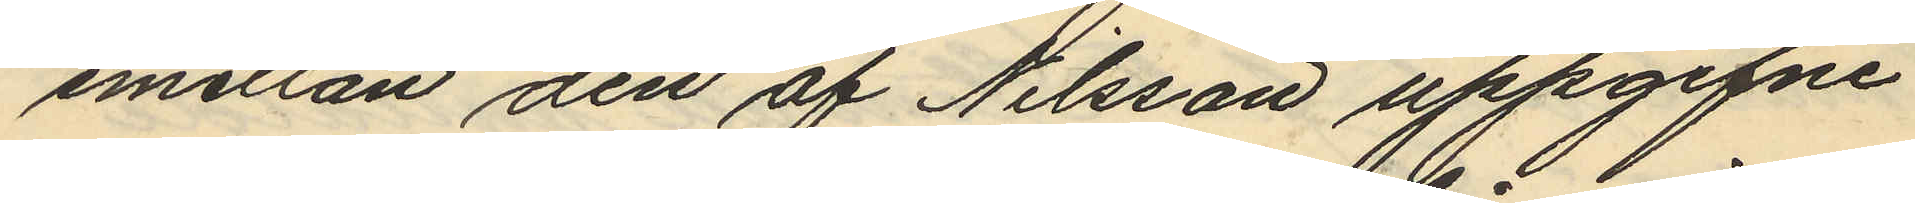emellan den af Nilsson uppgifne
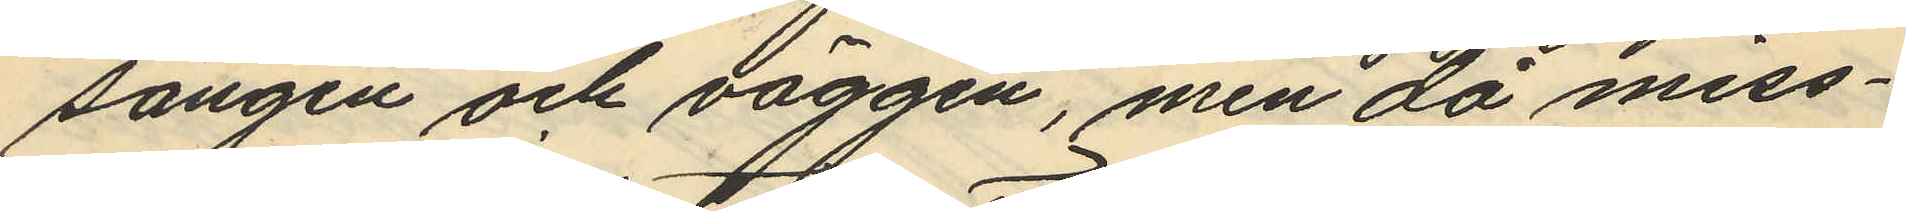sängen och väggen, men då miss¬
